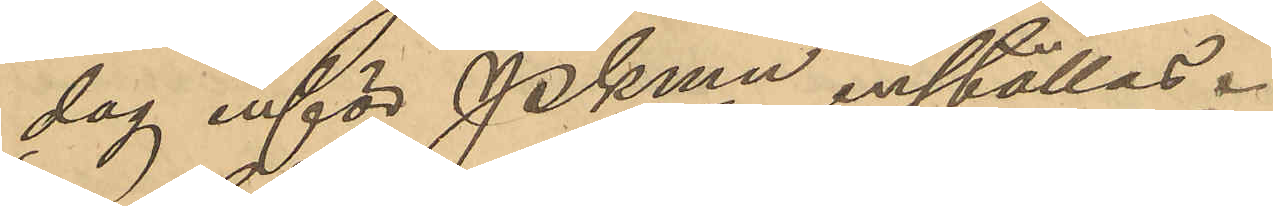dag inför Pkmn inställas.
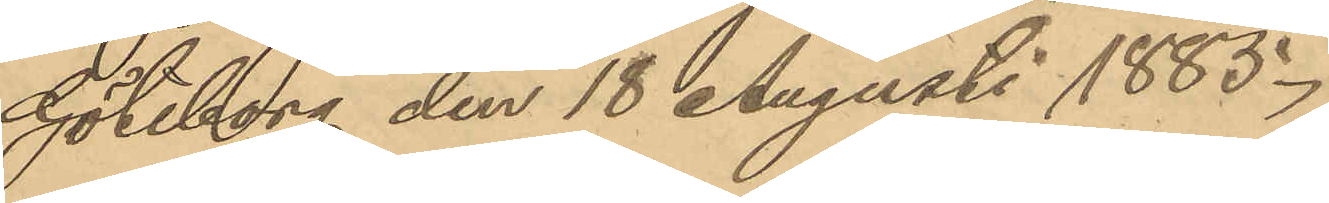Göteborg den 18 Augusti 1885.
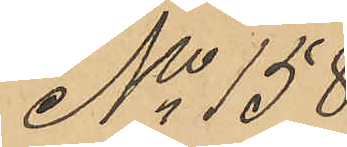No 158
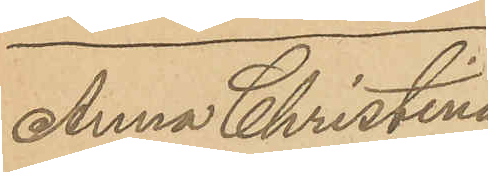Anna Christina
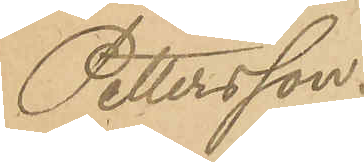Pettersson.
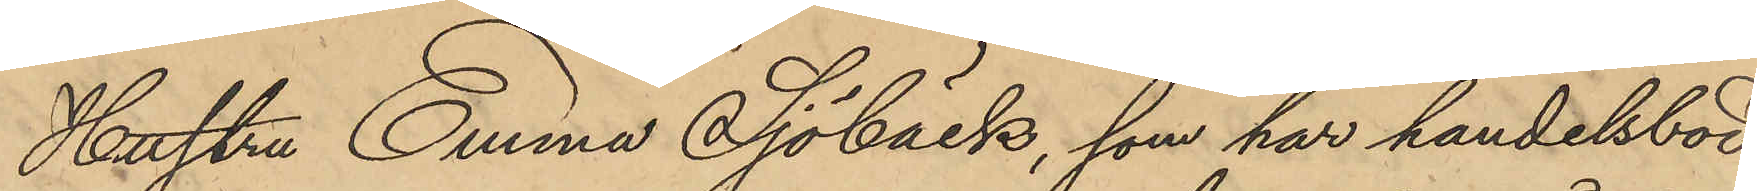Hustru Emma Sjöbäck, som har handelsbod
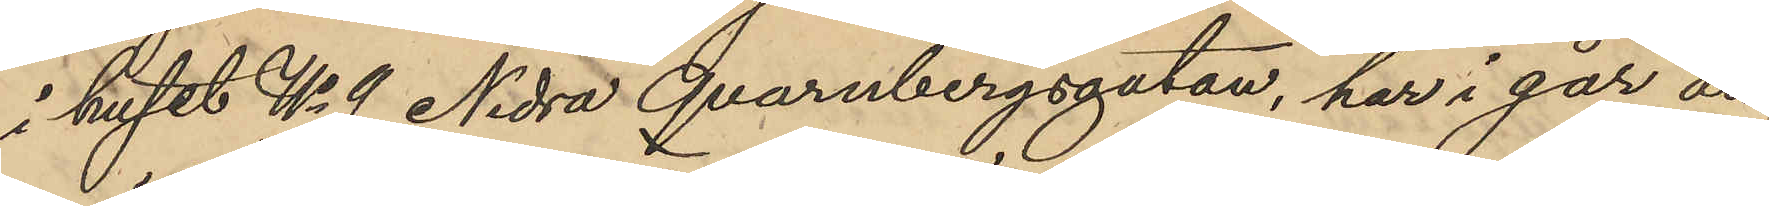i huset No 9 Nedra Qvarnbergsgatan, har i går an¬
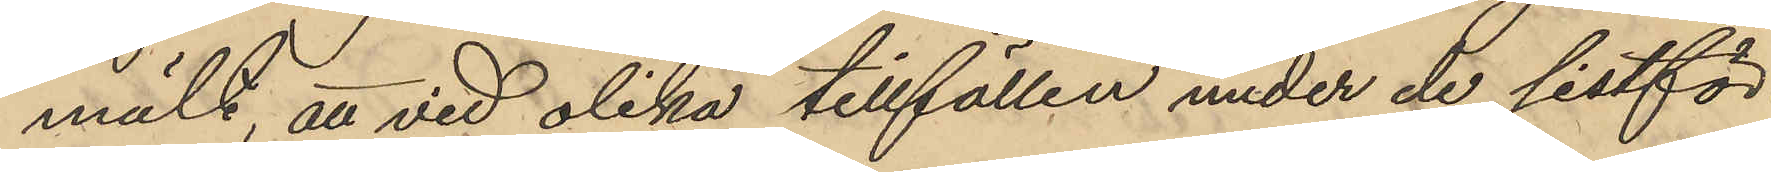mält att vid olika tillfällen under de sistför¬
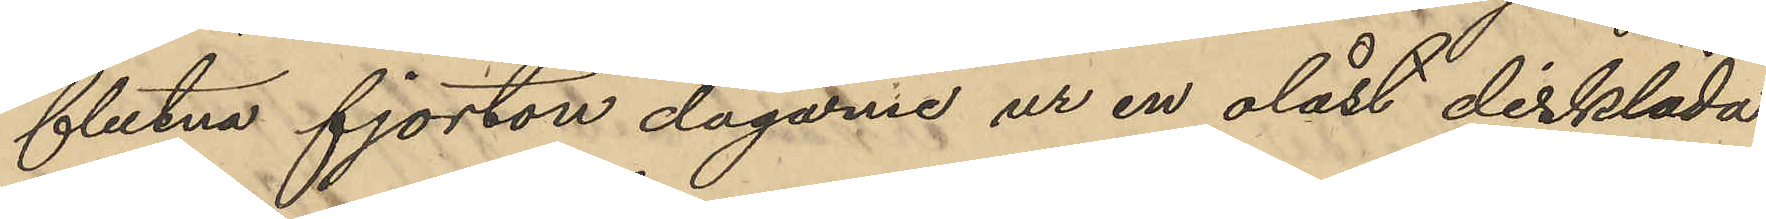flutna fjorton dagarne ur en olåst disklåda
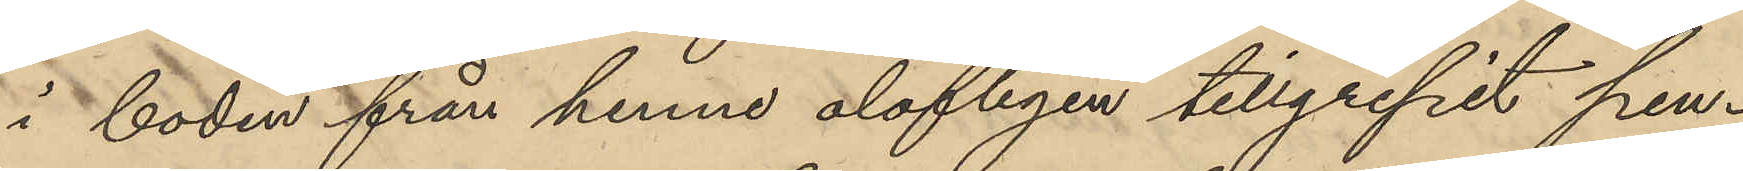i boden från henne olofligen tillgripit pen¬
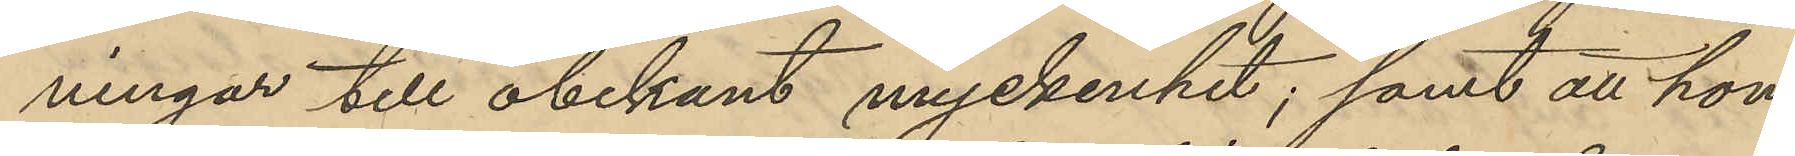ningar till obekant myckenhet; samt att hon
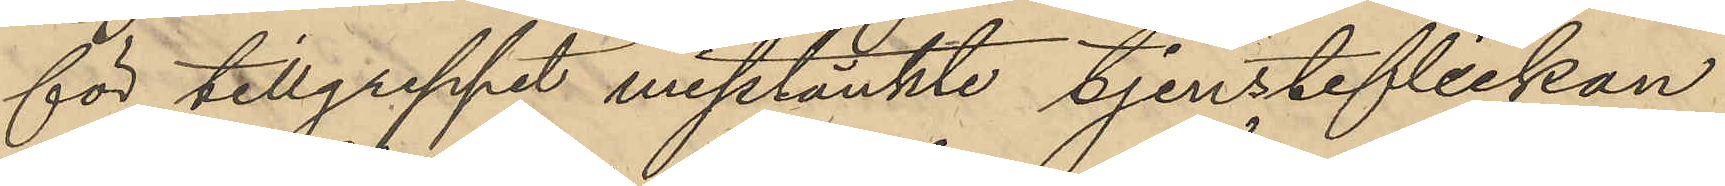för tillgreppet misstänkte tjensteflickan
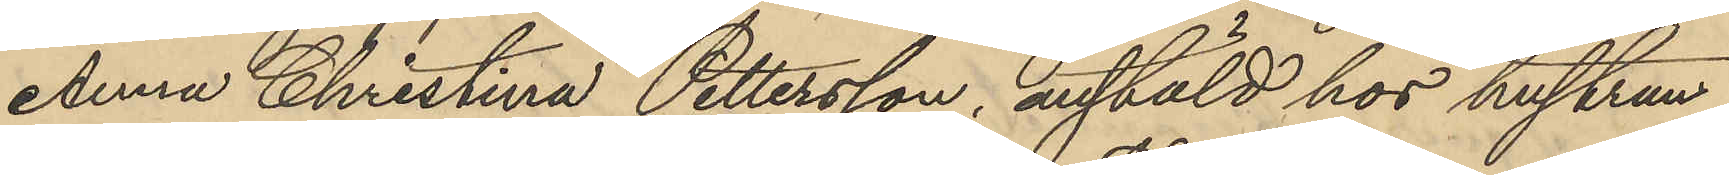Anna Christina Pettersson, anstäld hos hustrun
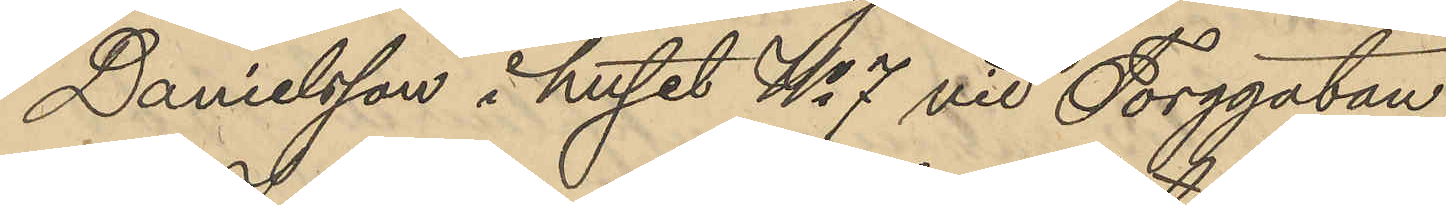Danielsson i huset No 7 vid Torggatan.
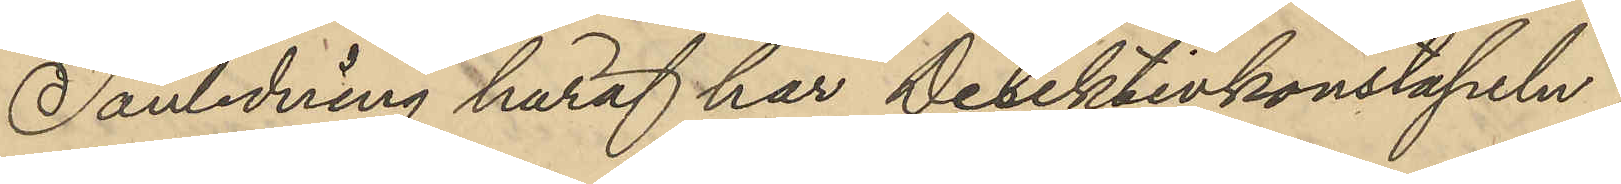I anledning häraf har Detektivkonstapeln
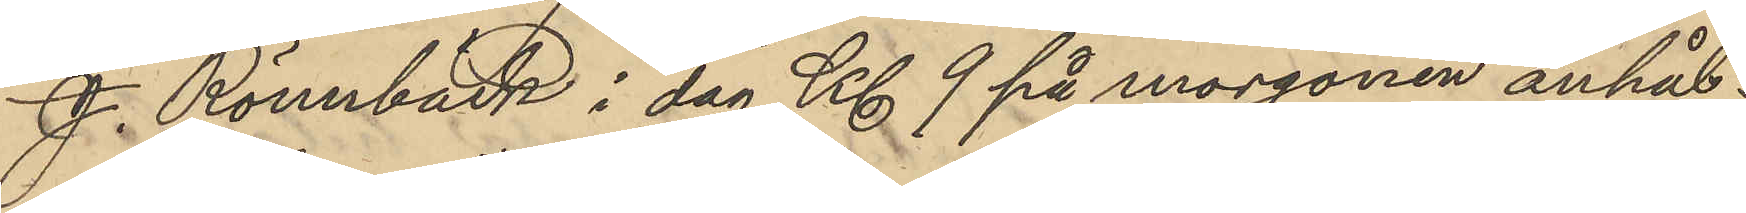J. Rönnbäck i dag Kl 9 på morgonen anhål¬
